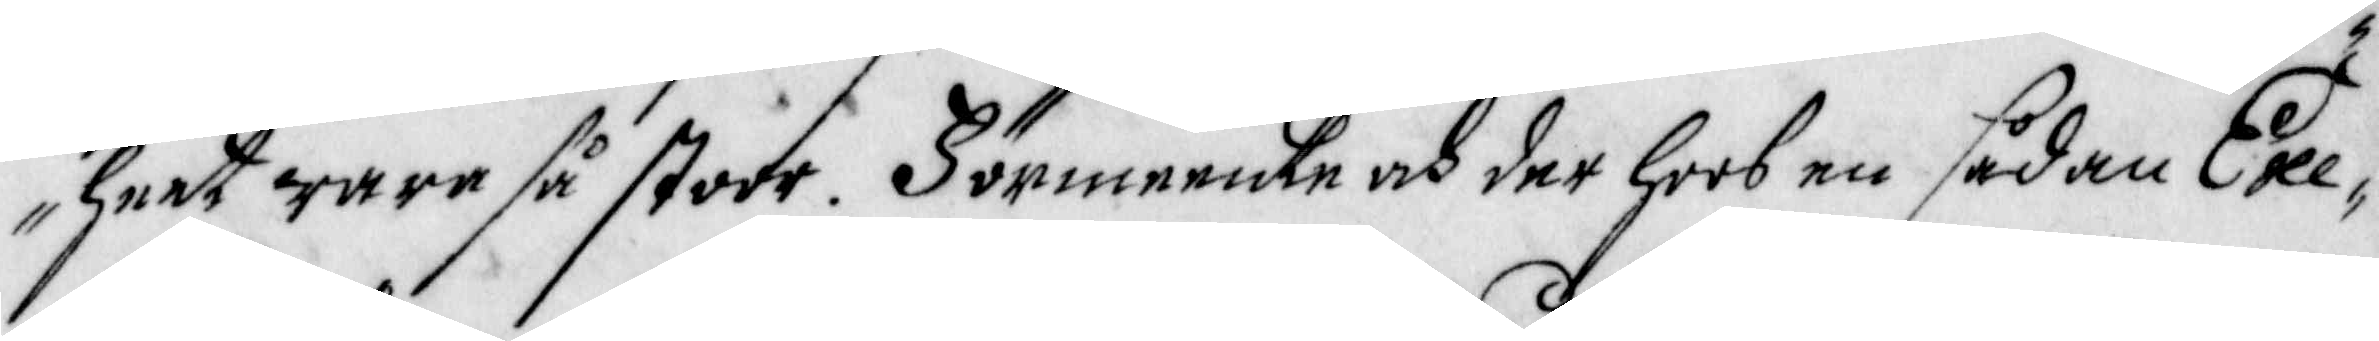heet ware så stoor. Förmeente och der hoos en sådan Exe¬
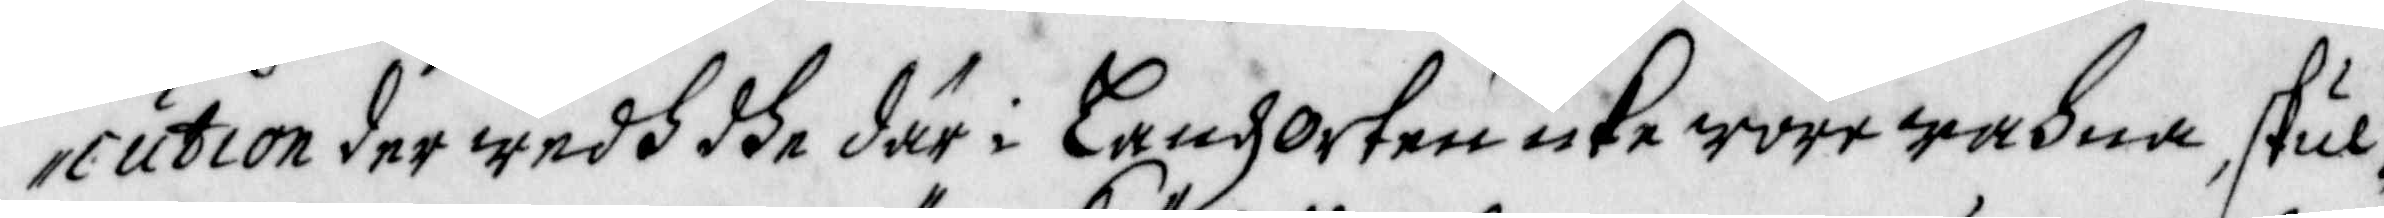cution der wedh dhe där i Landz Orten icke wore wahna skul¬
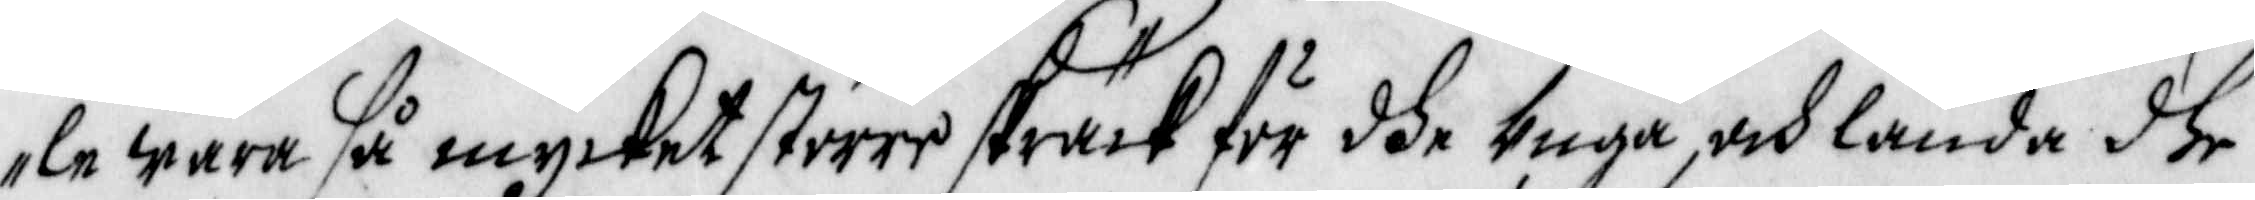le wara så mycket större skräck för dhe Unga och lända dhe
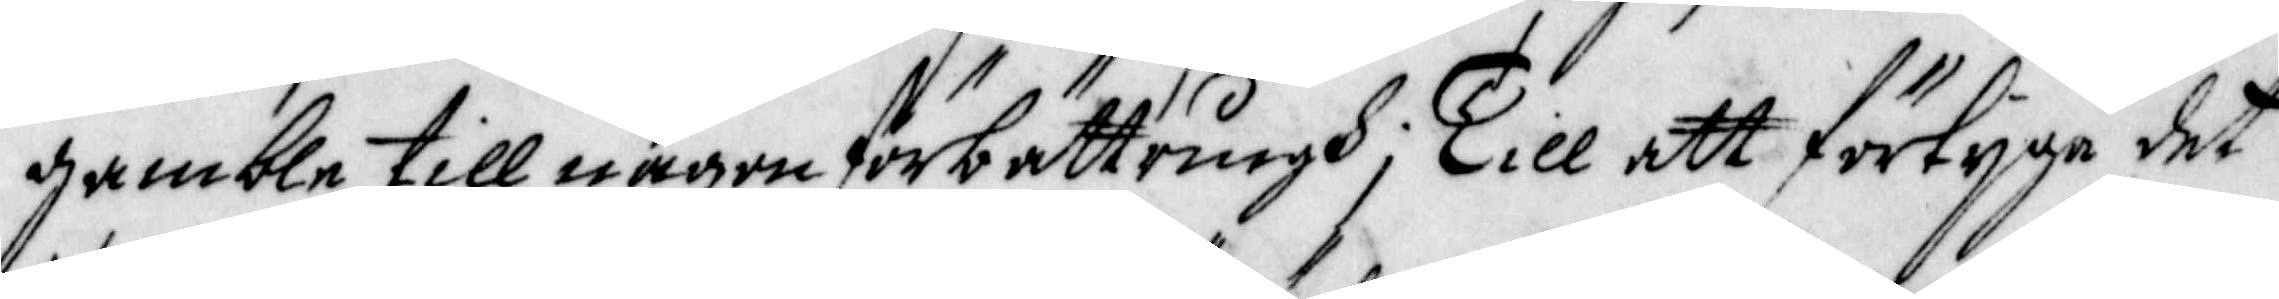gamble till någon förbättringh, Till att förtijga det
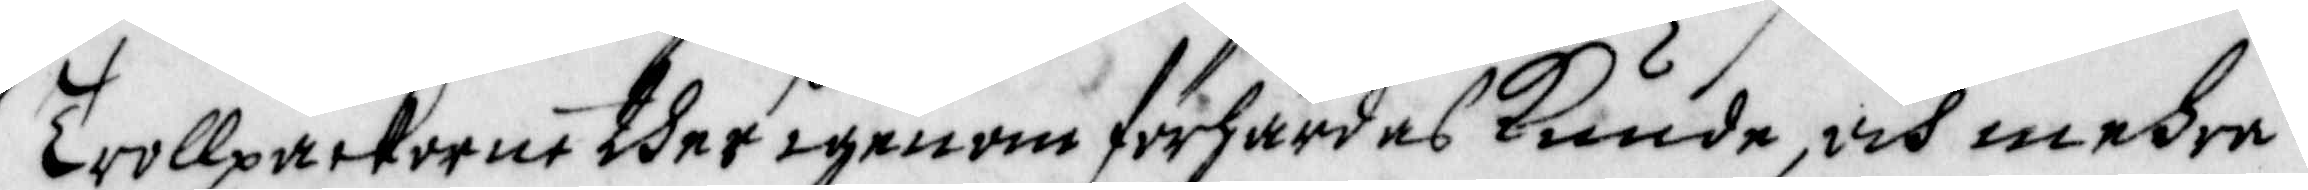Trollpackorne ther igenom förhärdas Kunde, och mehra
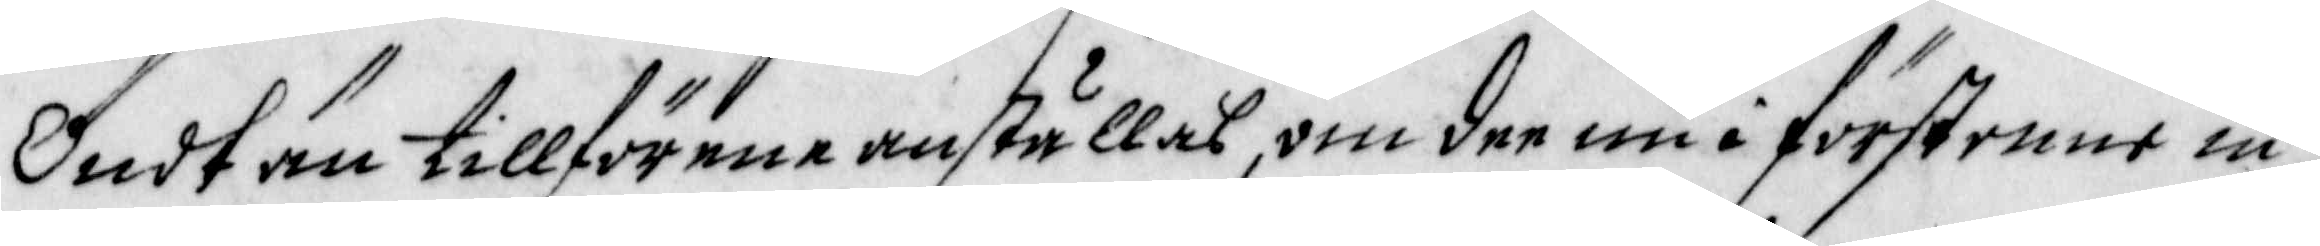Ondt än tillförene anställas, om dee nu i förstonne in¬
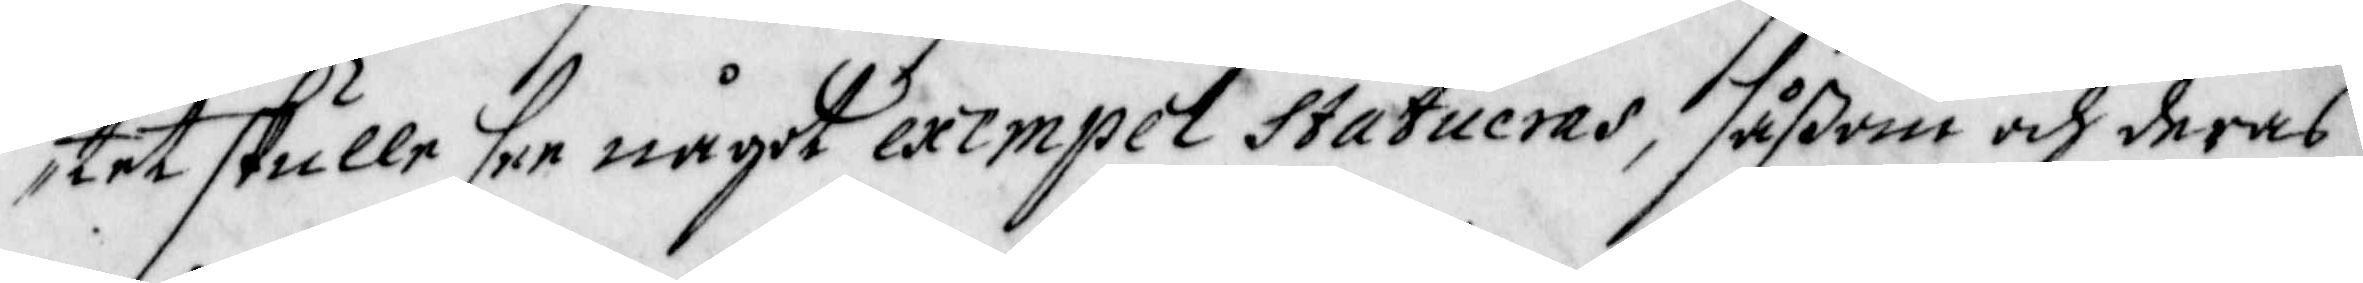tet skulle her något exempel Statueras, såßom och deras
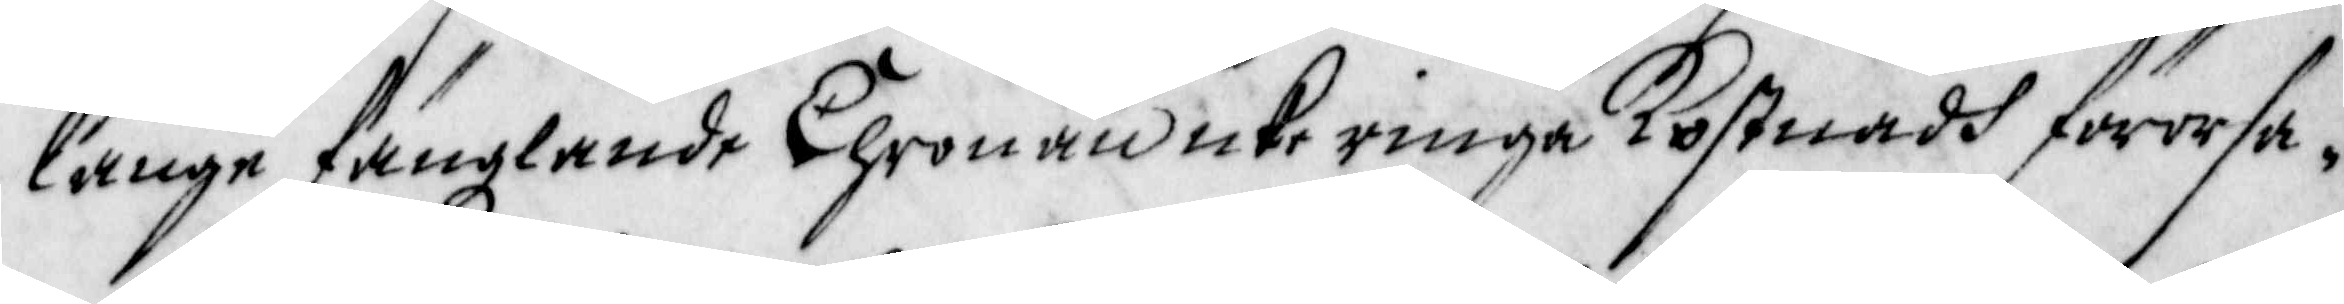långe fängzlande Chronan icke ringa Kostnadh förorsa¬
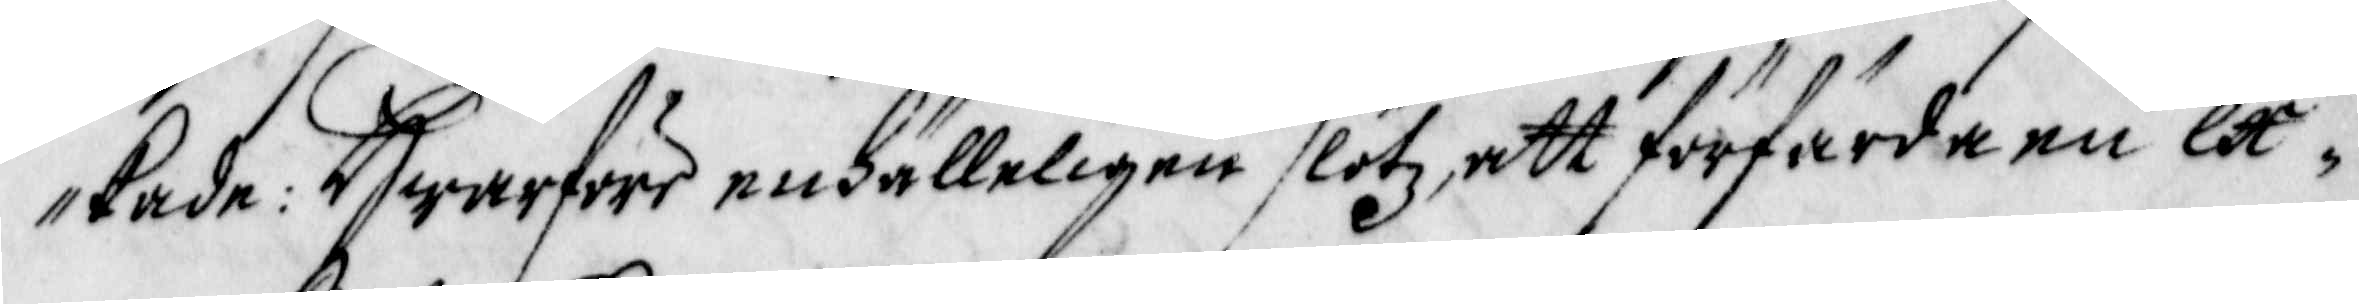kade: Hwarföre enhälleligen slötz att förfärda en ex¬
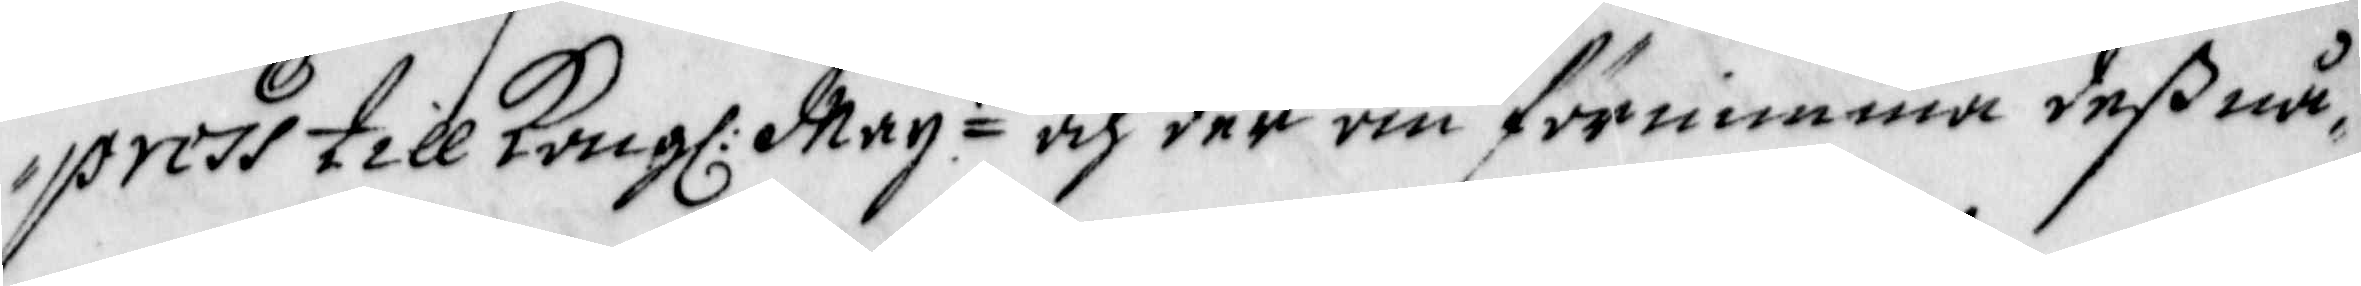press till Kong: May:tt och der om förnimma deß nå¬
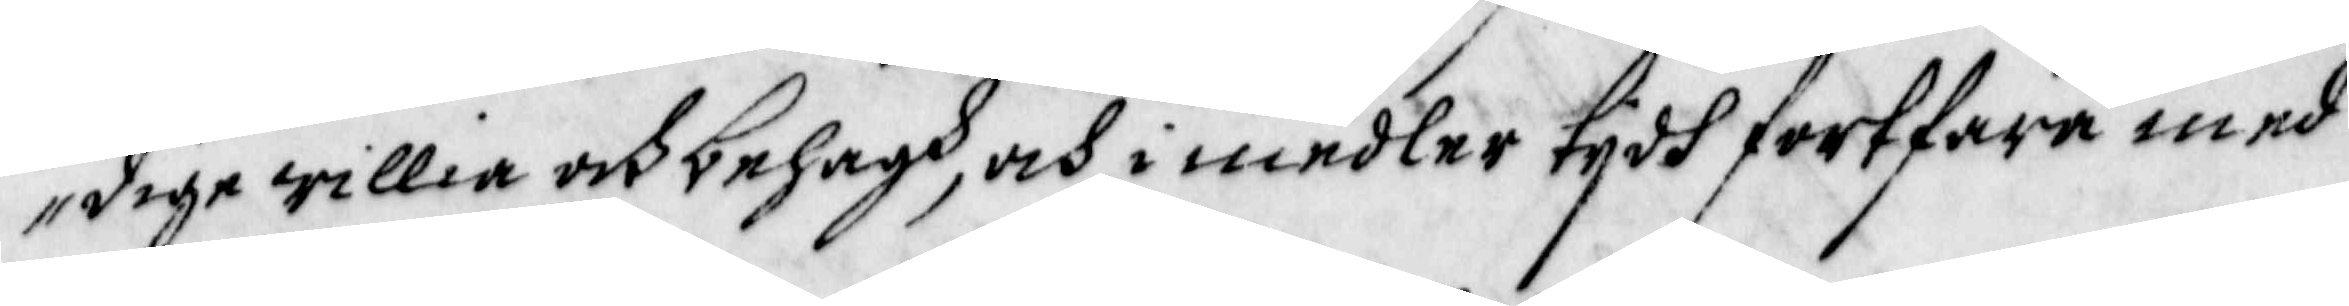dige willia och behagh, och i medler tijdh fortfara med
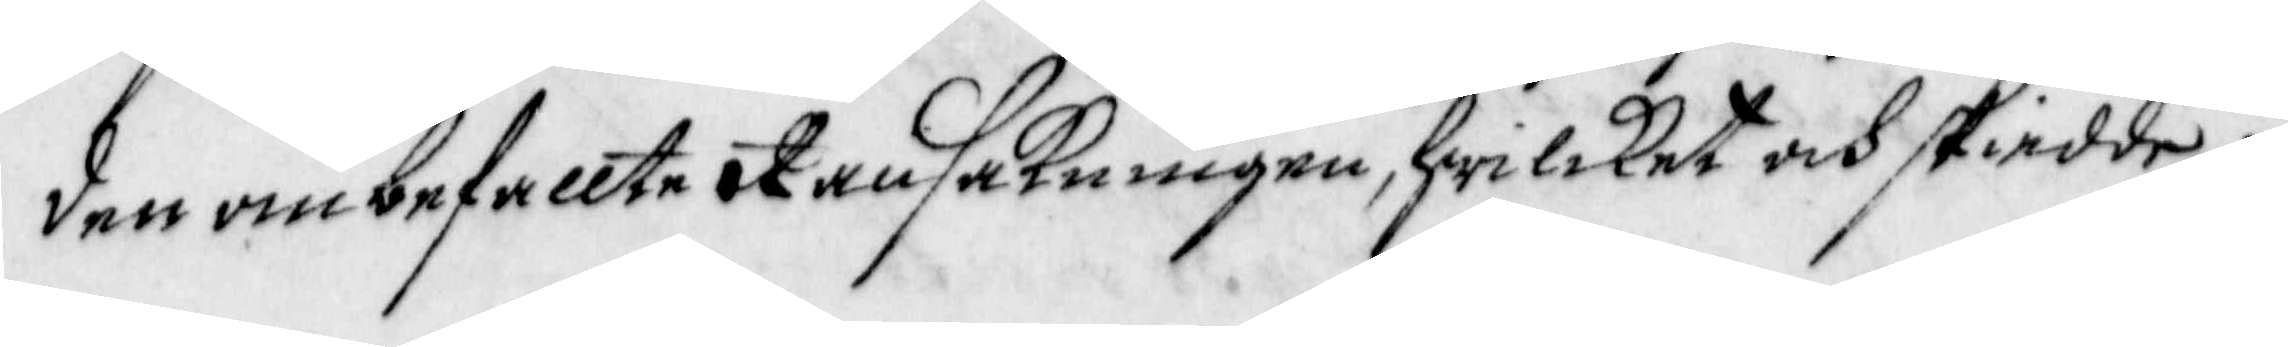den ombefallte Ransakningen, hwilcket och skiedde i
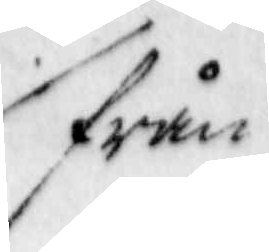från
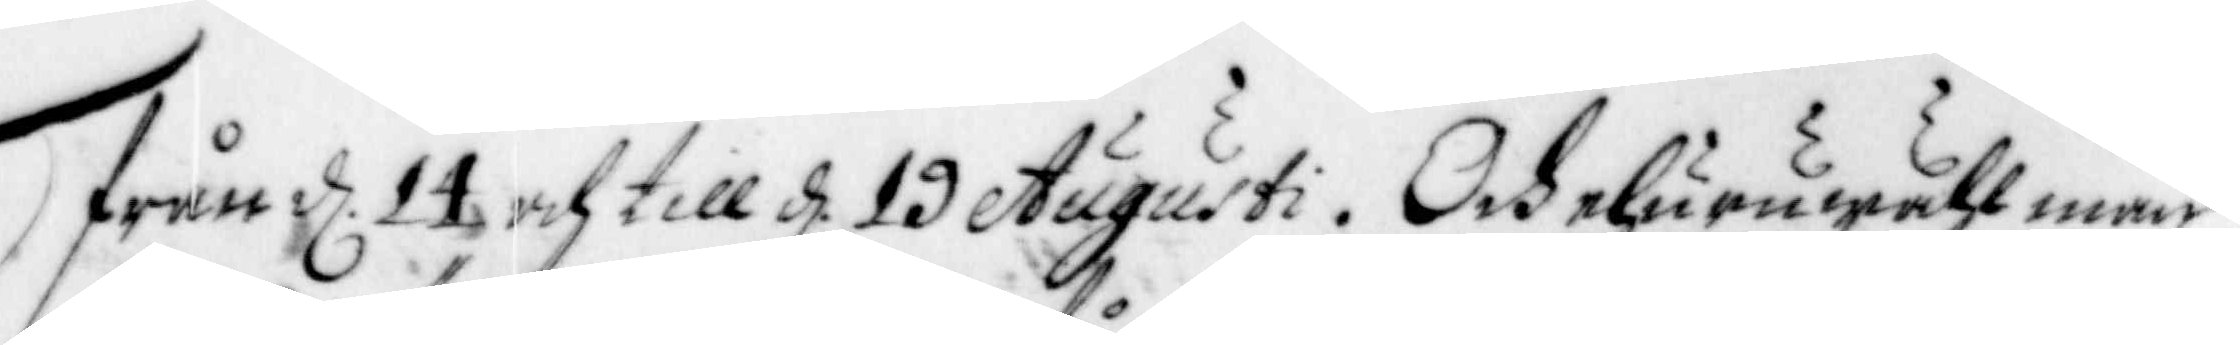från d. 12 och till d. 10 Augusti. Och ehuruwähl man
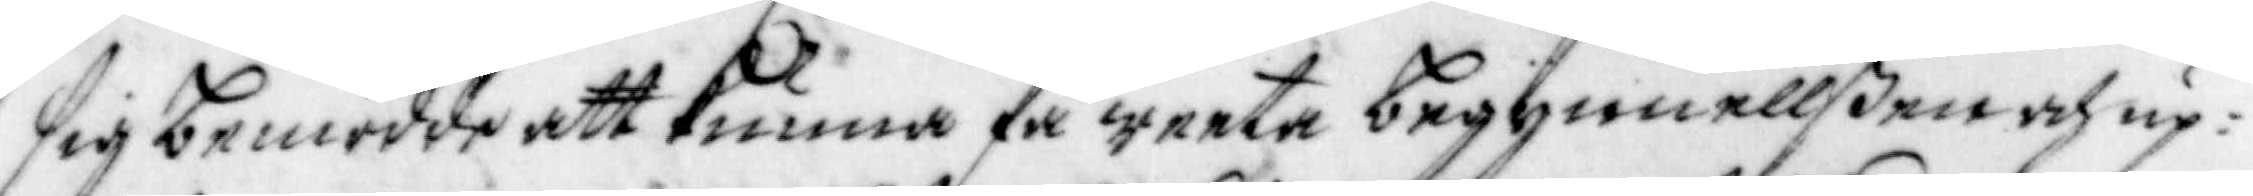sig bemödde att kunna få weeta begynnellßen och up¬
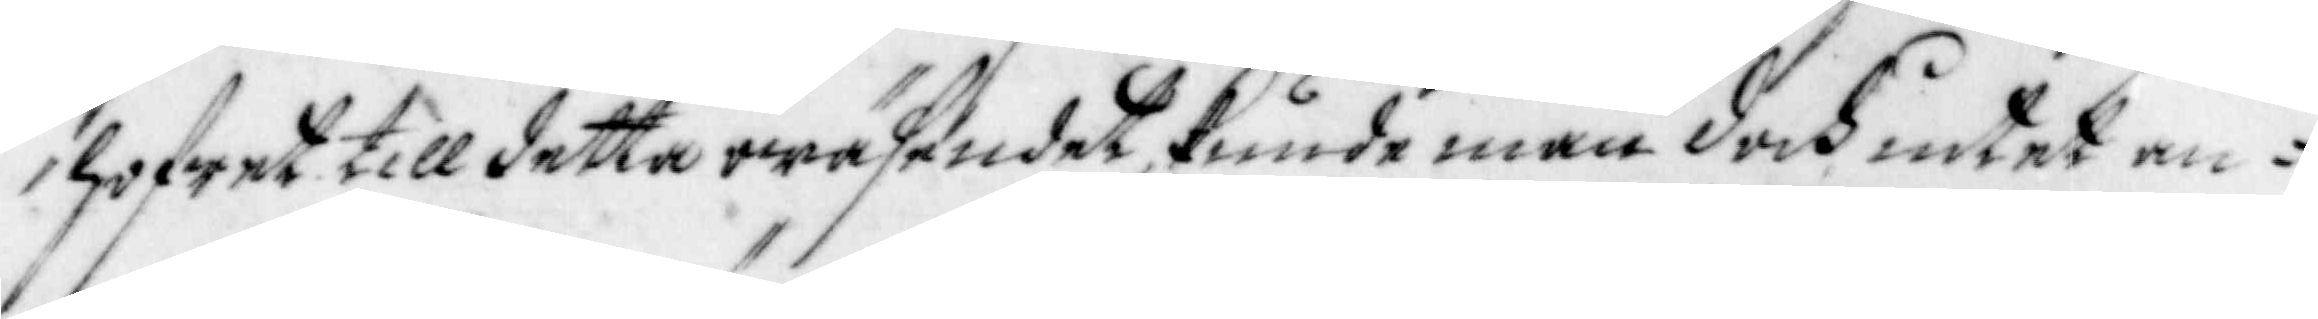hofwet till detta wäsendet, kunde man doch intet an-
